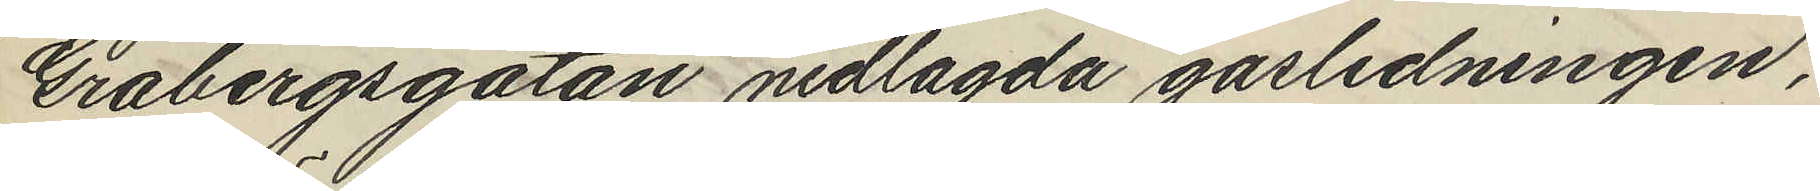Gråbergsgatan nedlagda gasledningen,
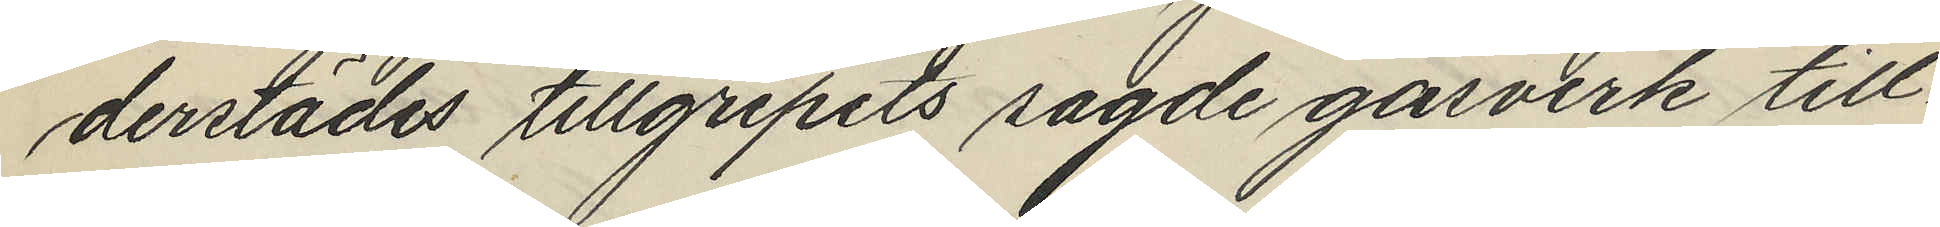derstädes tillgripits sagde gasverk till¬
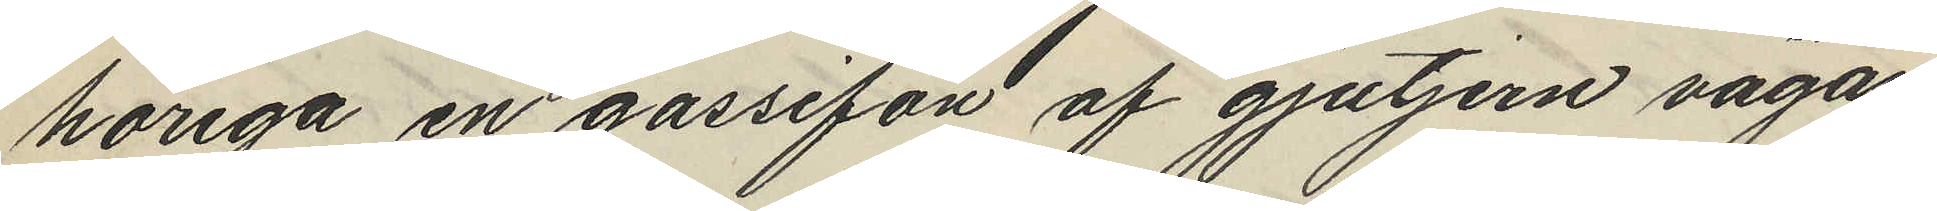höriga en gassifon af gjutjern vägan
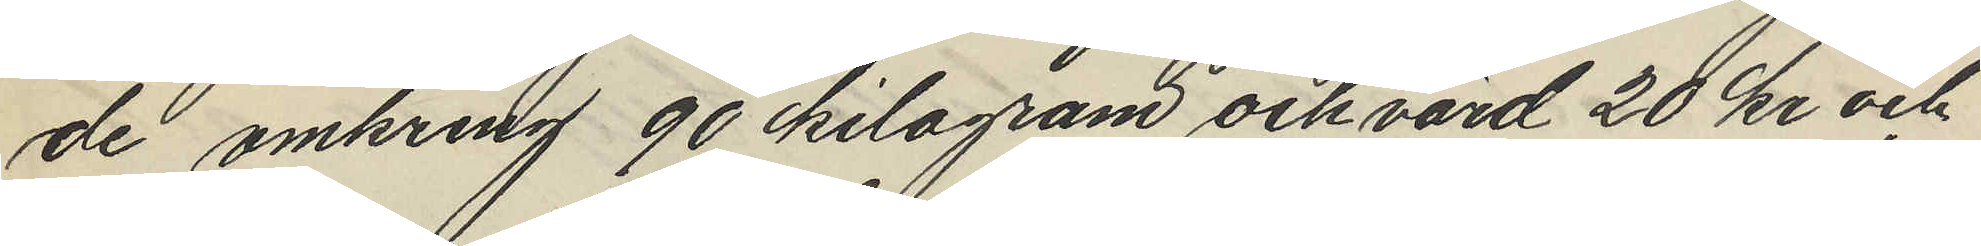de omkring 90 kilogram och värd 20 kr och
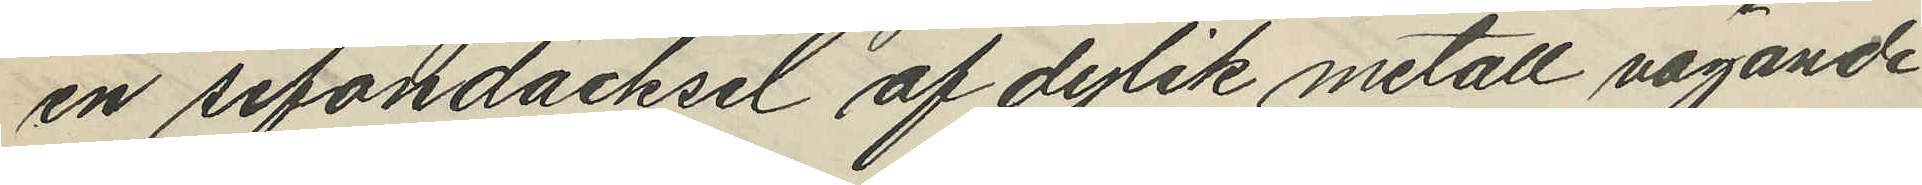en sifondäcksel af dylik metall vägande
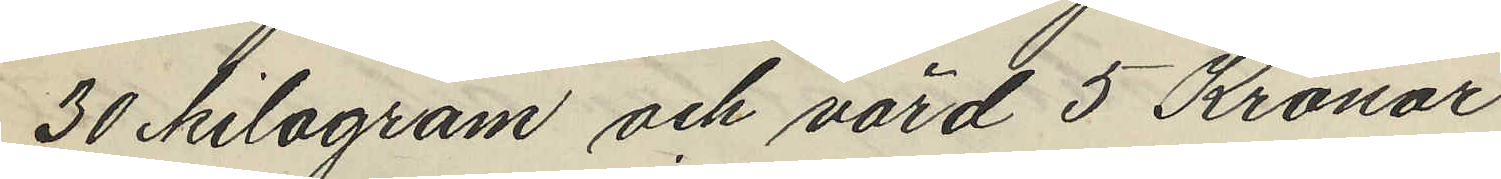30 kilogram och värd 5 Kronor.
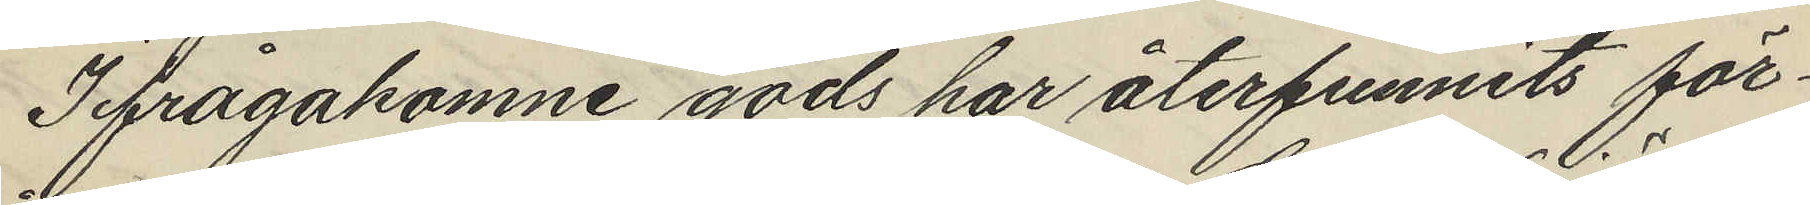Ifrågakomne gods har återfunnits för¬
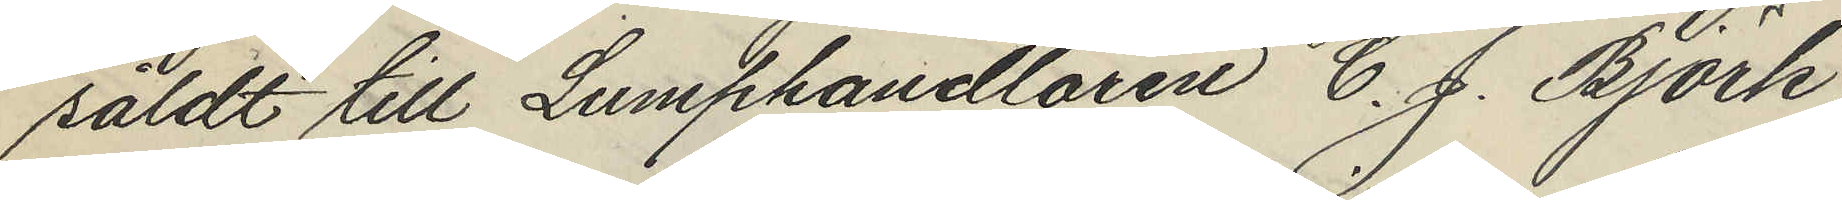såldt till Lumphandlaren C. J. Björk
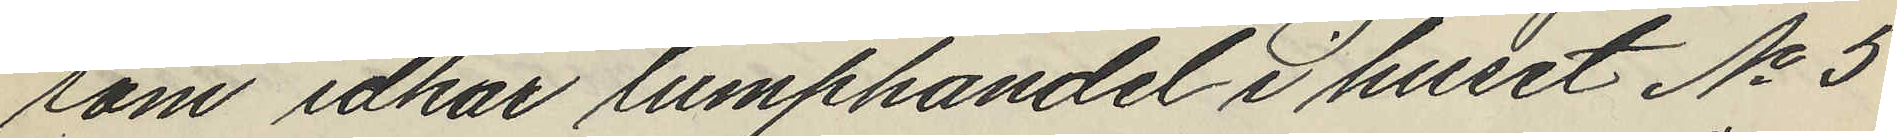som idkar lumphandel i huset No 5
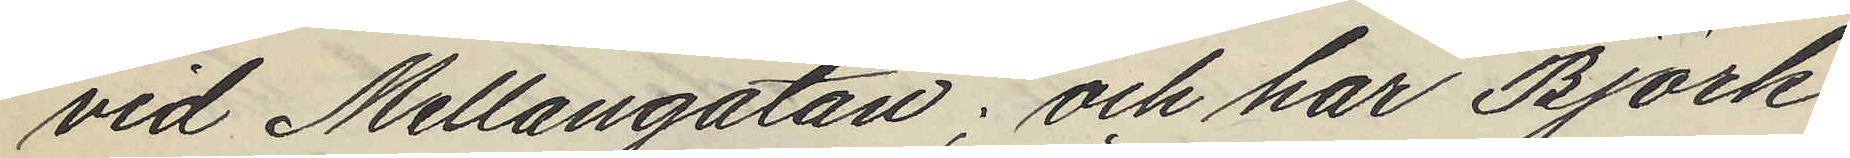vid Mellangatan; och har Björk
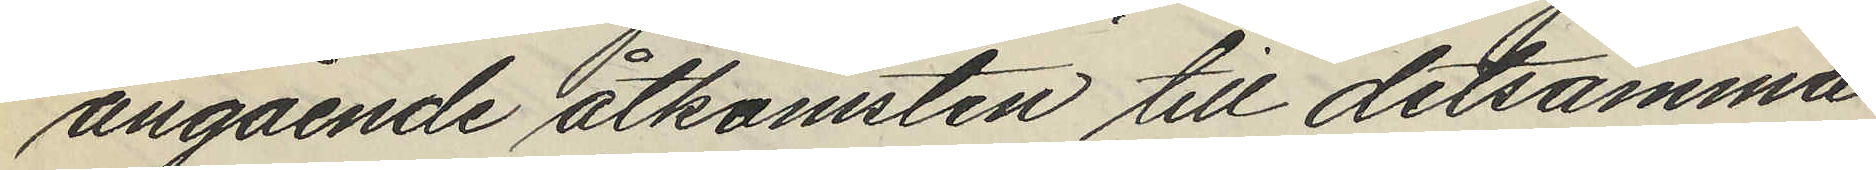angående åtkomsten till detsamma
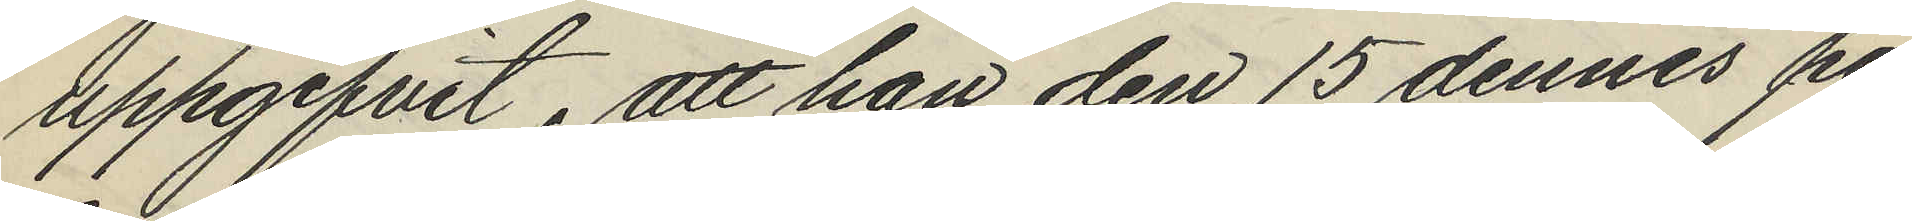uppgifvit, att han den 15 dennes på
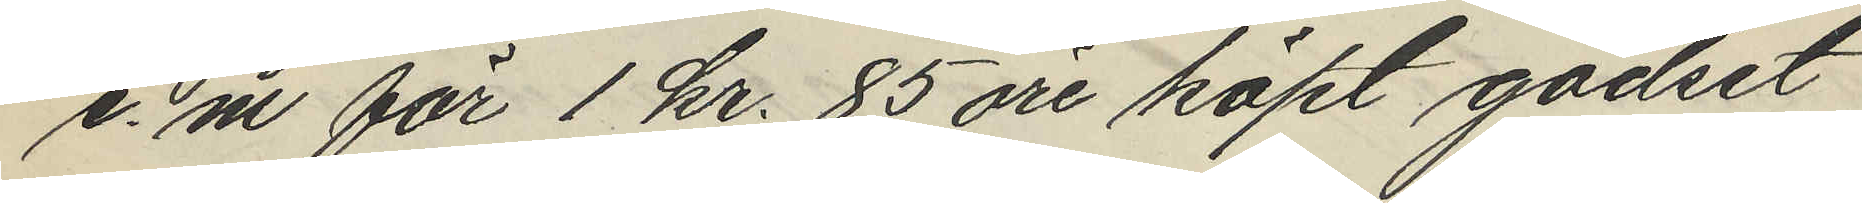e. m. för 1 kr. 85 öre köpt godset
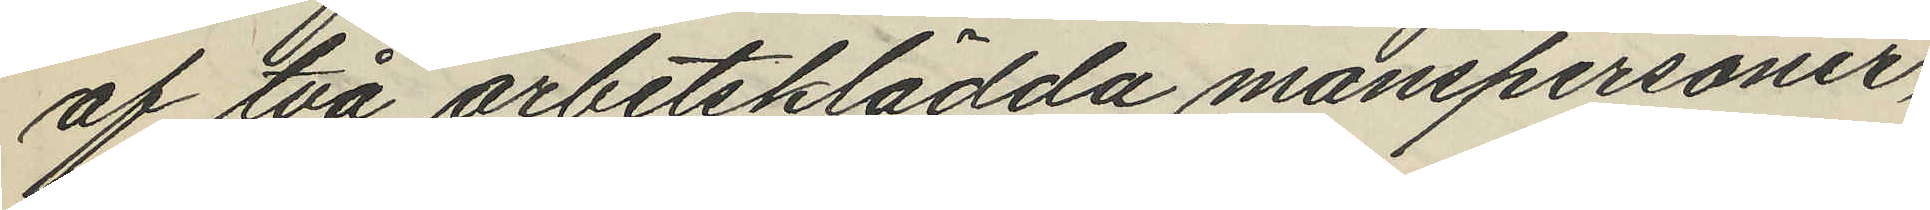af två arbetsklädda manspersoner,
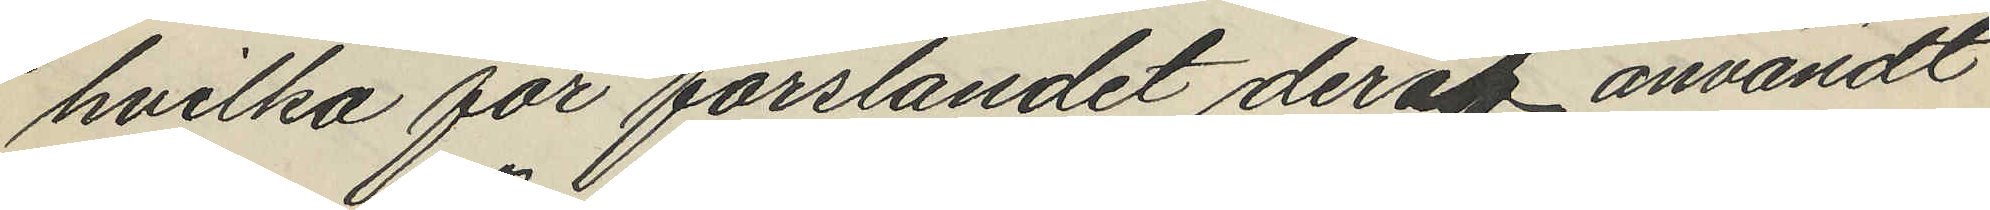hvilka för forslandet deraf användt
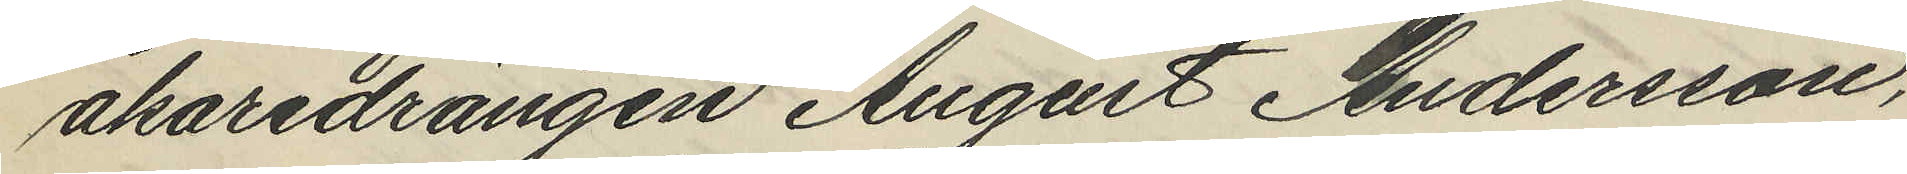åkaredrängen August Andersson,
